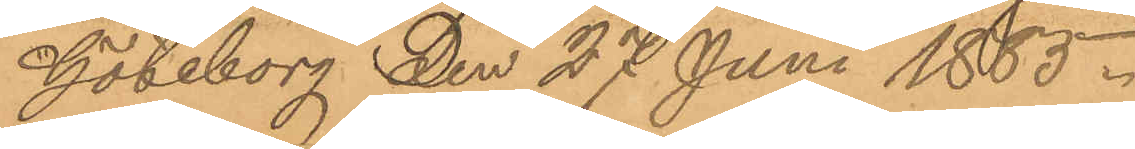Göteborg den 27 Juni 1883.
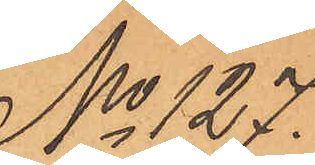No 127.
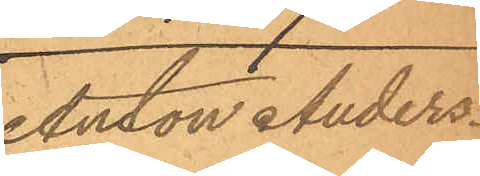Antor Anders¬
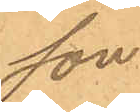son.
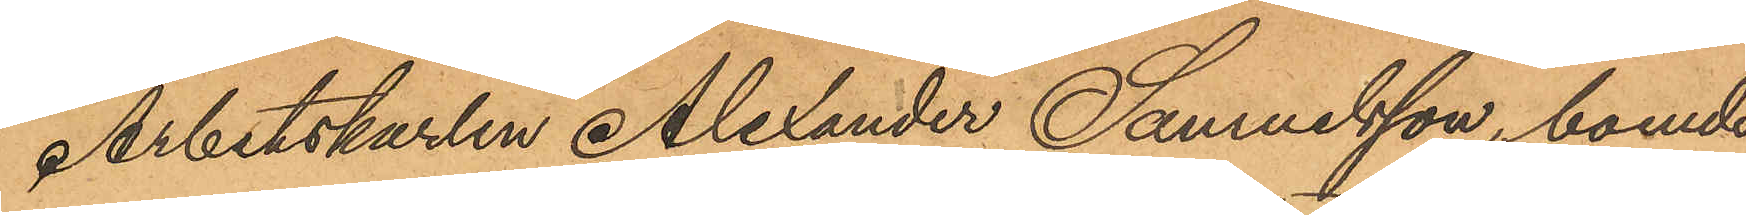Arbetskarlen Alexander Samuelsson, boende
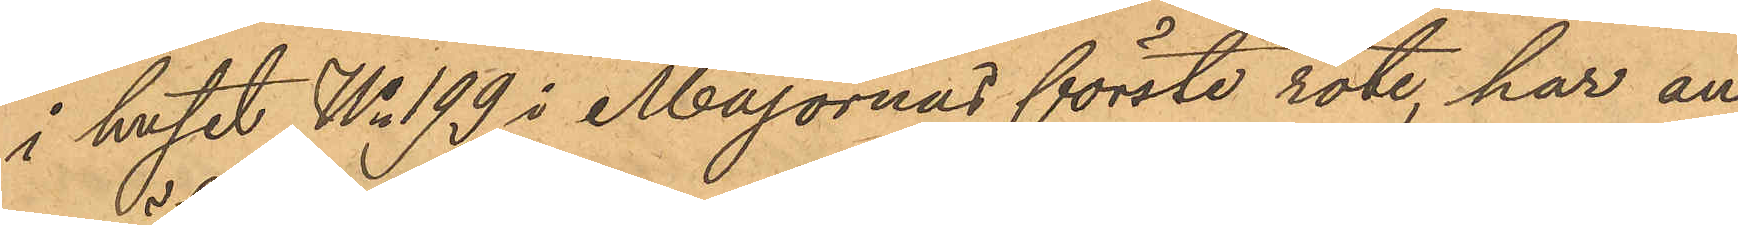i huset No 199 i Majornas förste rote, har an¬
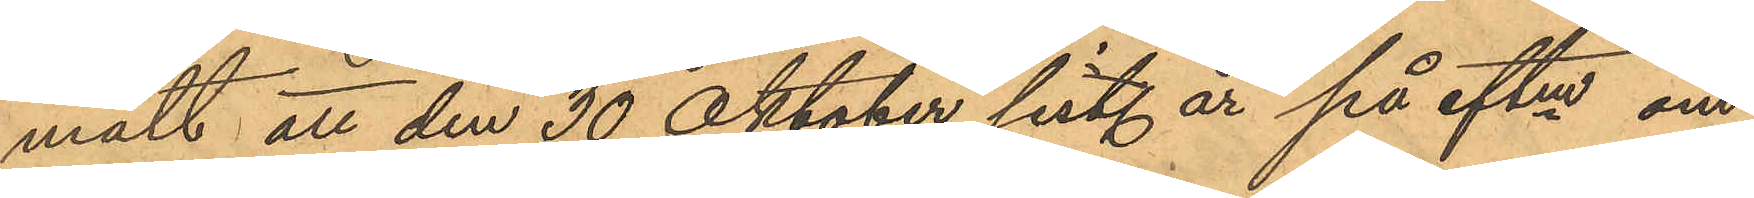mält att den 30 Oktober sist. år på eftm om¬
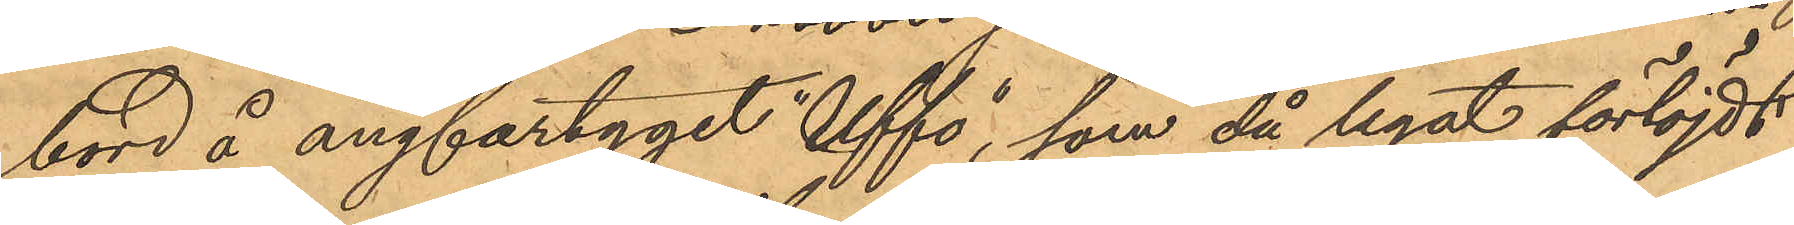bord å ångfartyget "Uffo", som då legat förtöjdt
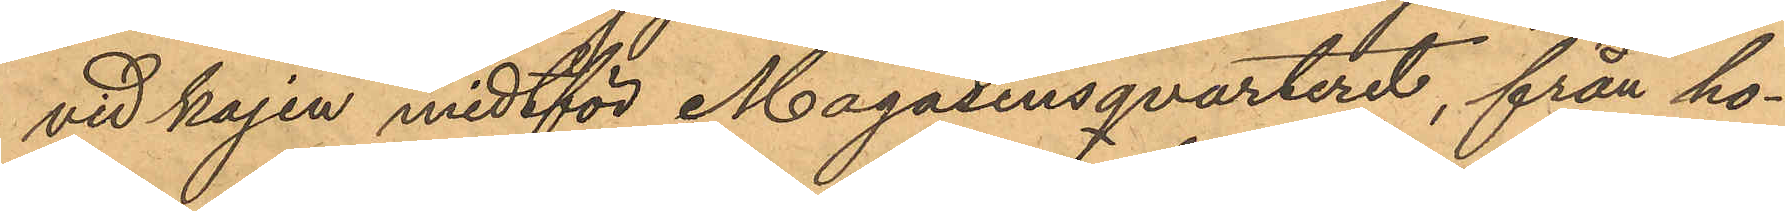vid kajen midtför Magasinsqvarteret, från ho¬
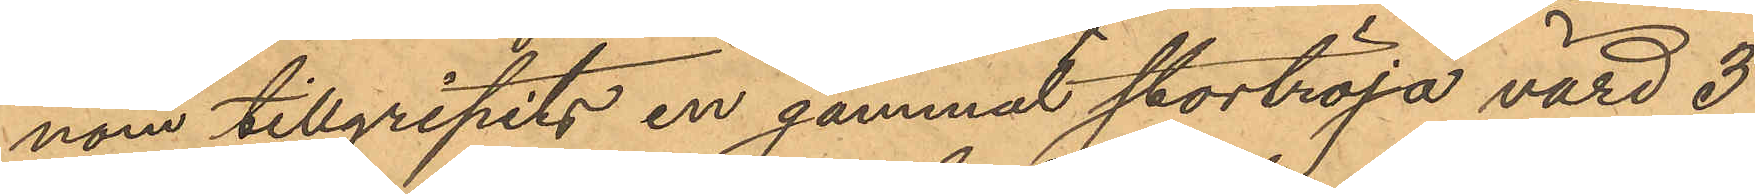nom tillgripits en gammal stortröja, värd 3
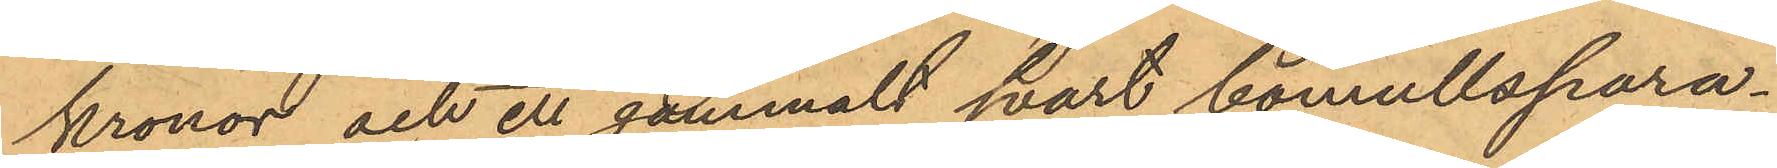kronor och ett gammalt svart bomullspara¬
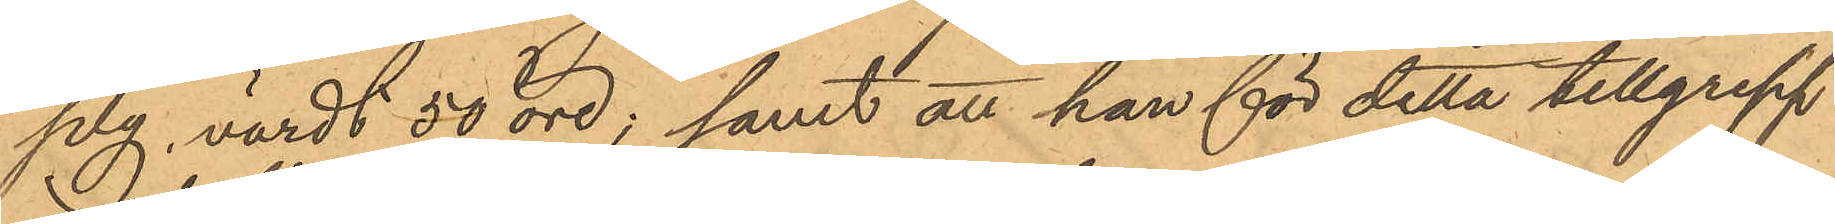ply, värdt 50 öre; samt att han för detta tillgrepp
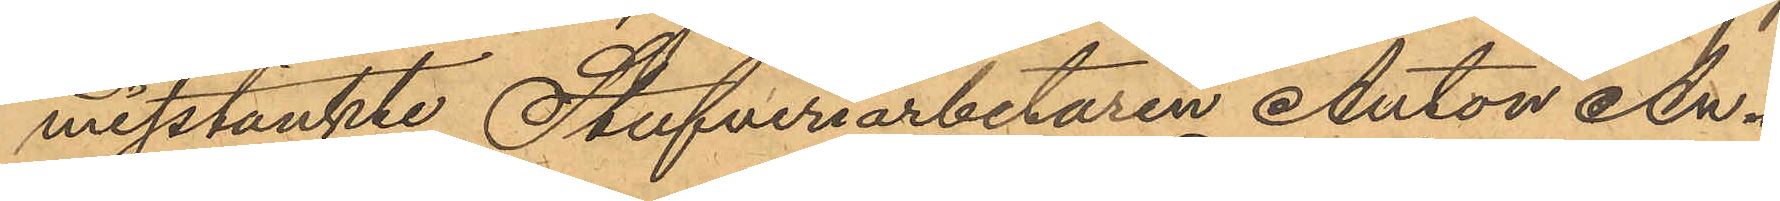misstänkte Stufveriarbetaren Anton An¬
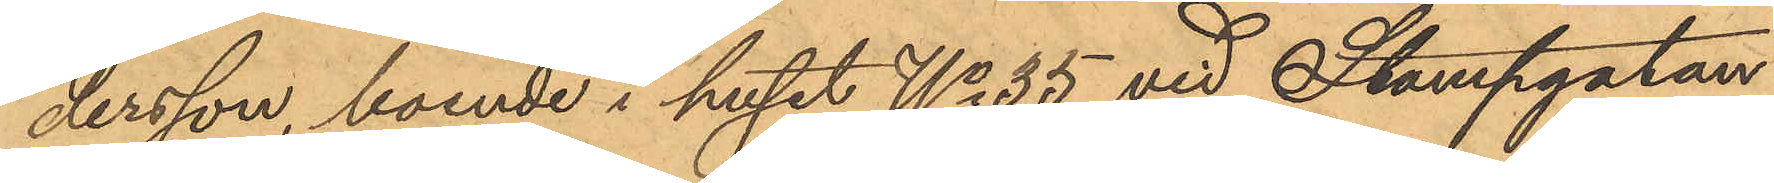dersson, boende i huset No 35 vid Stampgatan
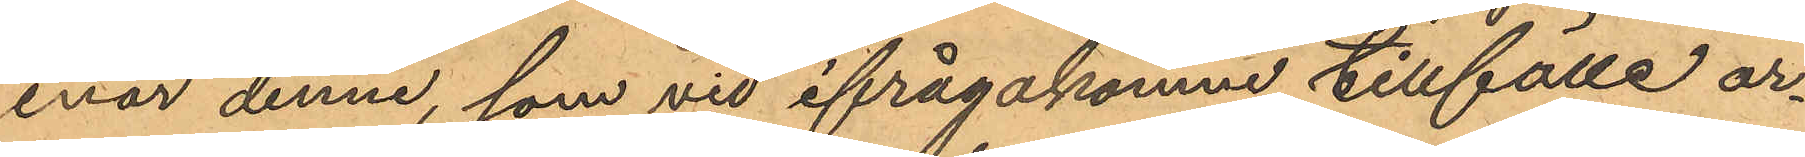enär denne, som vid ifrågakomne tillfälle ar¬
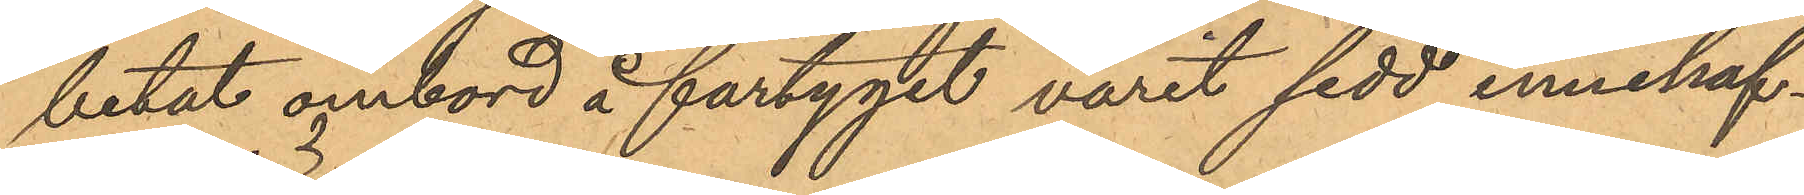betat ombord å fartyget varit sedd innehaf¬
